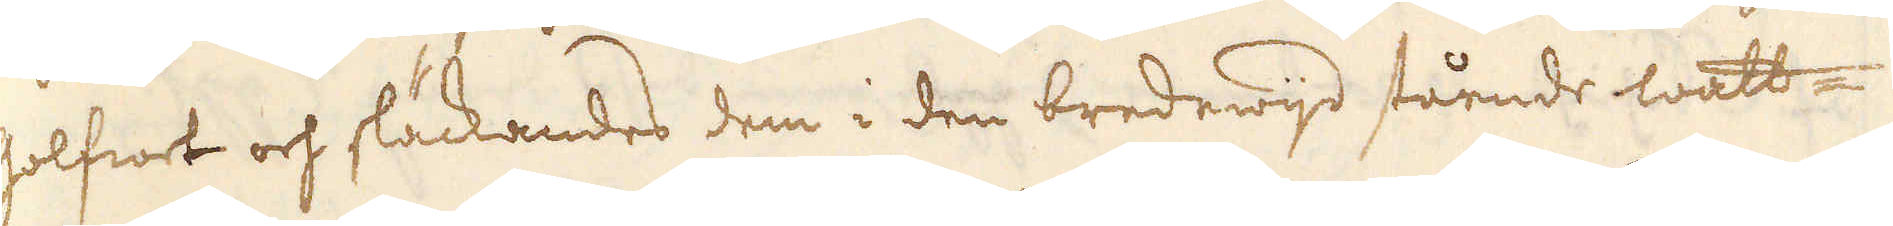golfwet och släckandes dem i den bredewijd stående watt-
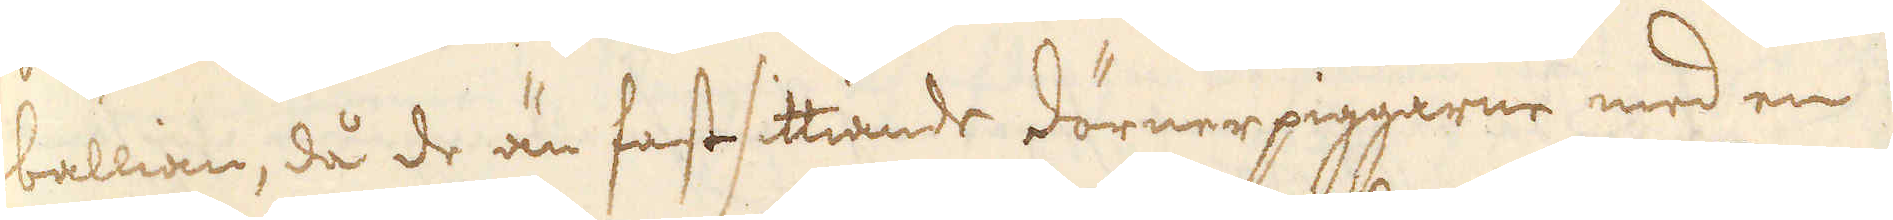ballian, då de än fastsittiande dörnerpiggarne med en
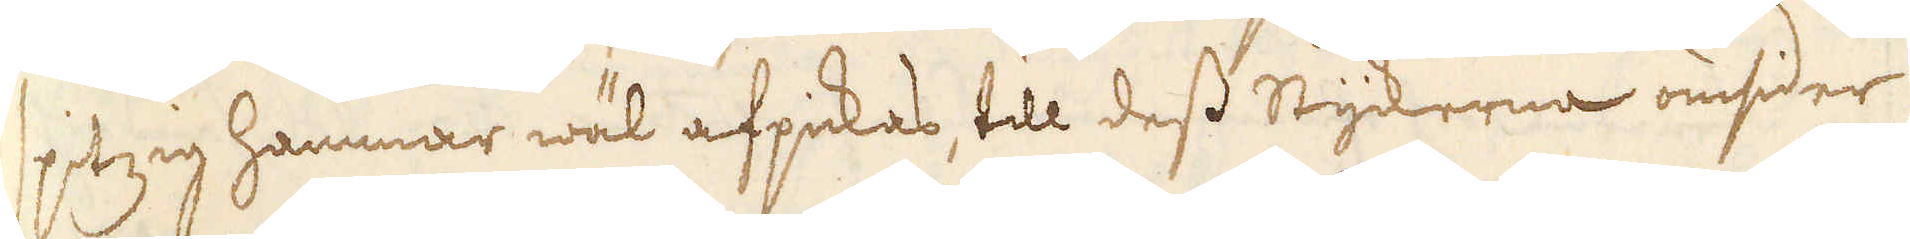spitzig hammar wäl afpickas, till dess Styckerna omsider
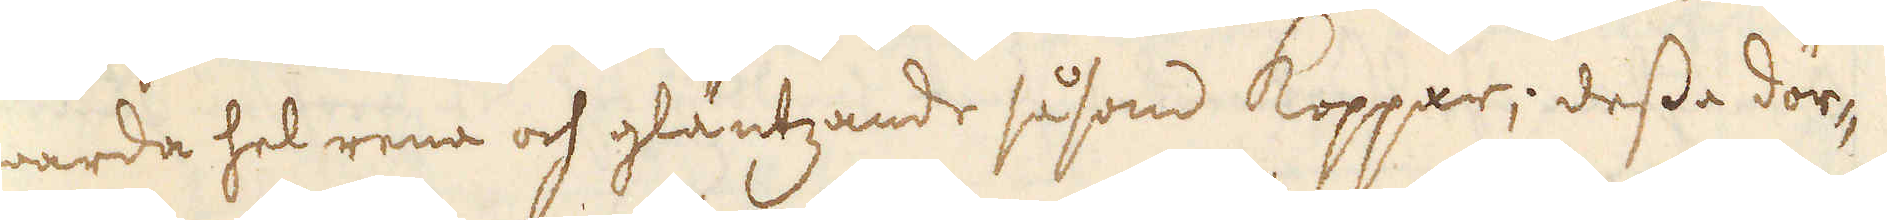warda hel rena och gläntzande såsom Koppar; dessa dör-
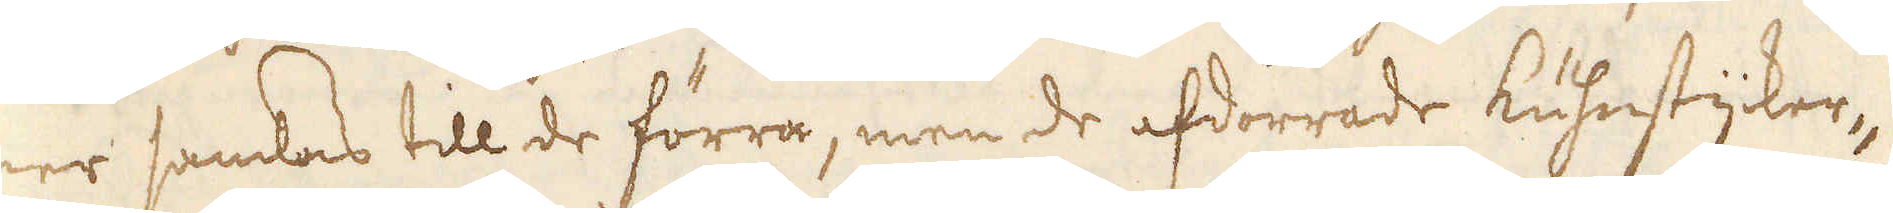ner samlas till de förra, men de afdörrade kuhnstycker-
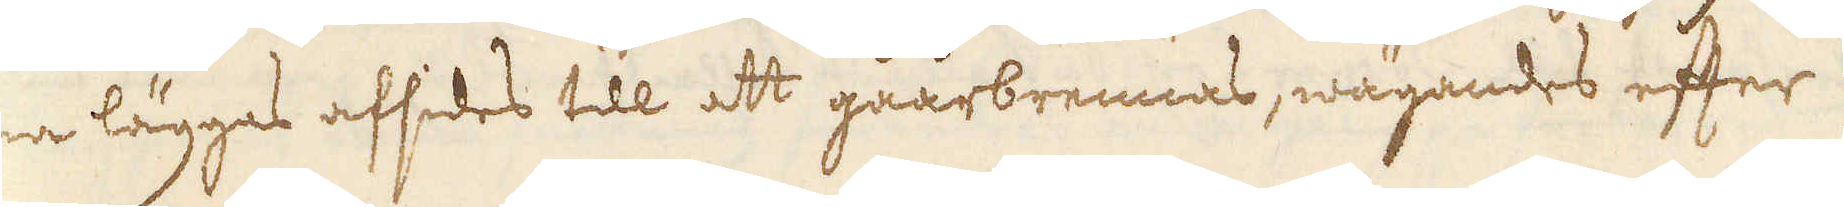na läggas afsedes till att gåårbrennas, wägandes efter
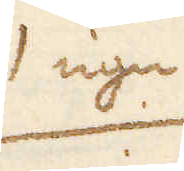1 ugn
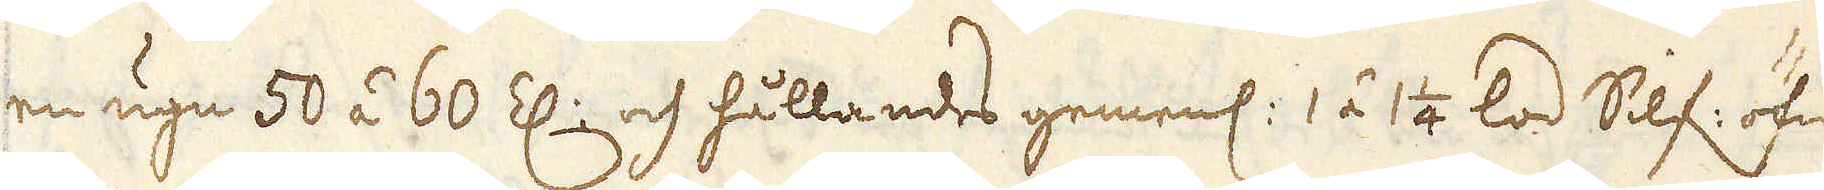en ugn 50 á 60 Z: och hållandes gemenl: 1 á 1 1/4 lod Silf: öfwer
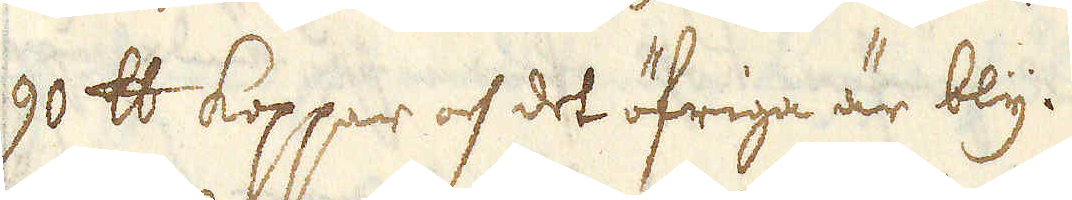90 skålpund koppar och det öfriga är bly.
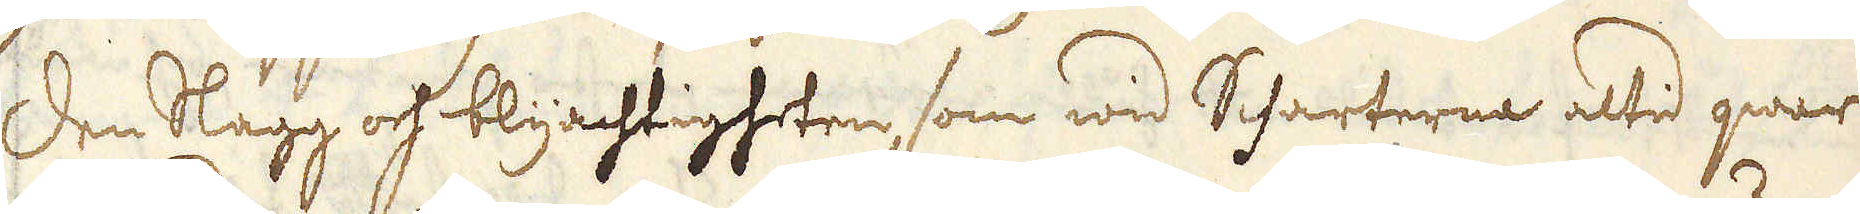Den slagg och blyachtigheten, som wid Scharterne altid qwar-
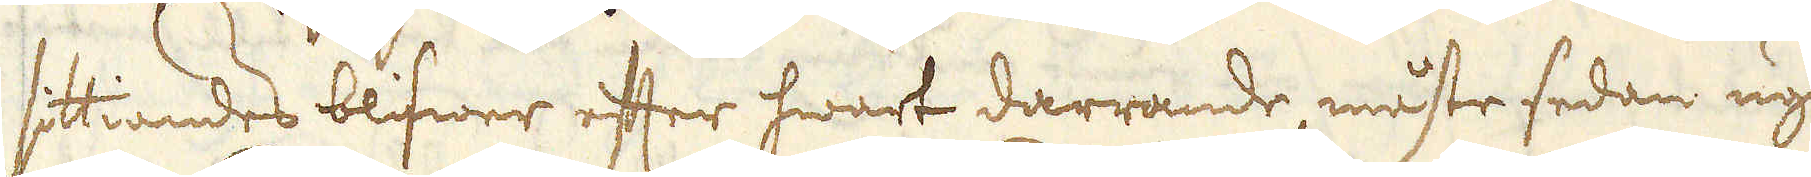sittiandes blifwer efter hwart darrande, måste sedan ugnen
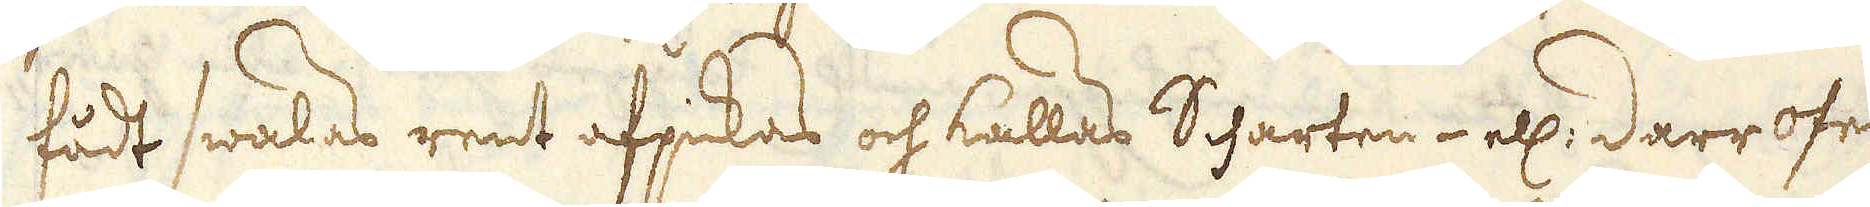fådt swalas rent afpickas och kallas Scharten- ell: darr ofen
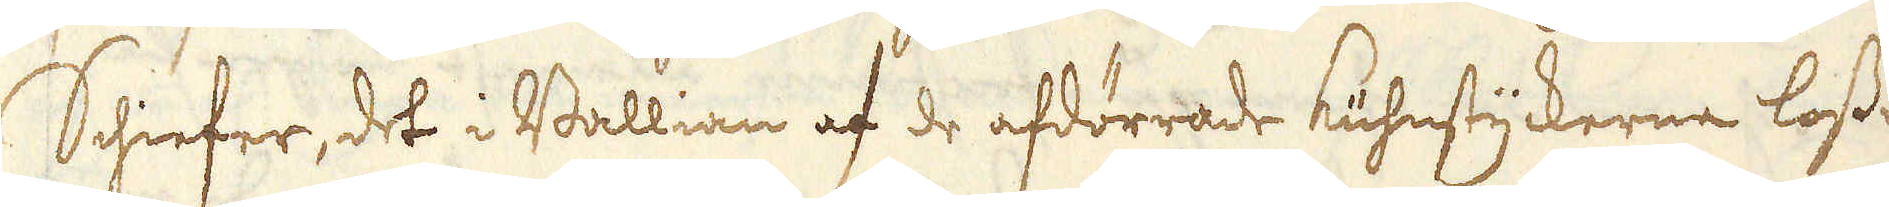Schiefer, det i Ballian af de afdörrade kuhnstyckerna loss en
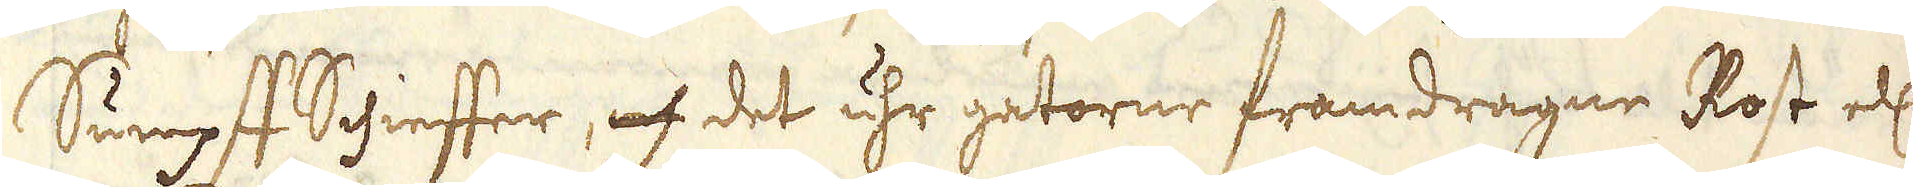Sumpff Schieffer, och det uhr gatorne framdragne Rost ell:
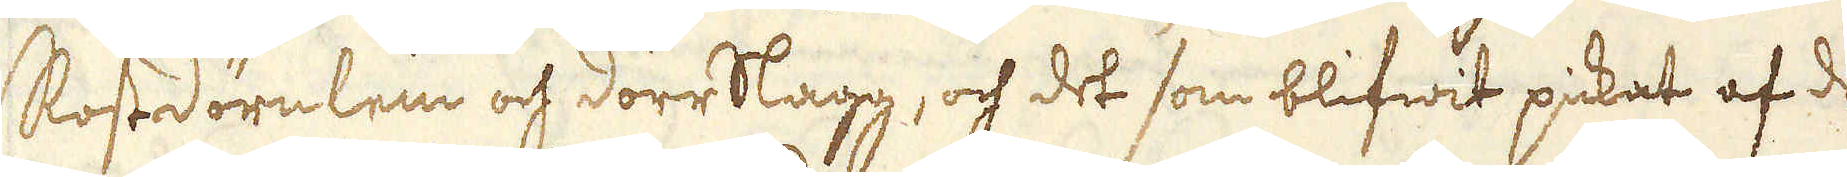Rostdörelein och dörrslagg, och det som blifwit pickat af de
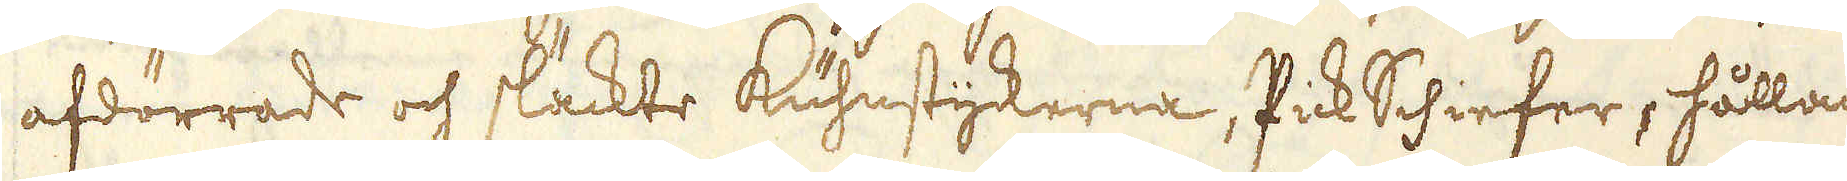afdörrade och släckte kuhnstyckerna, PickSchiefer, hållan-
